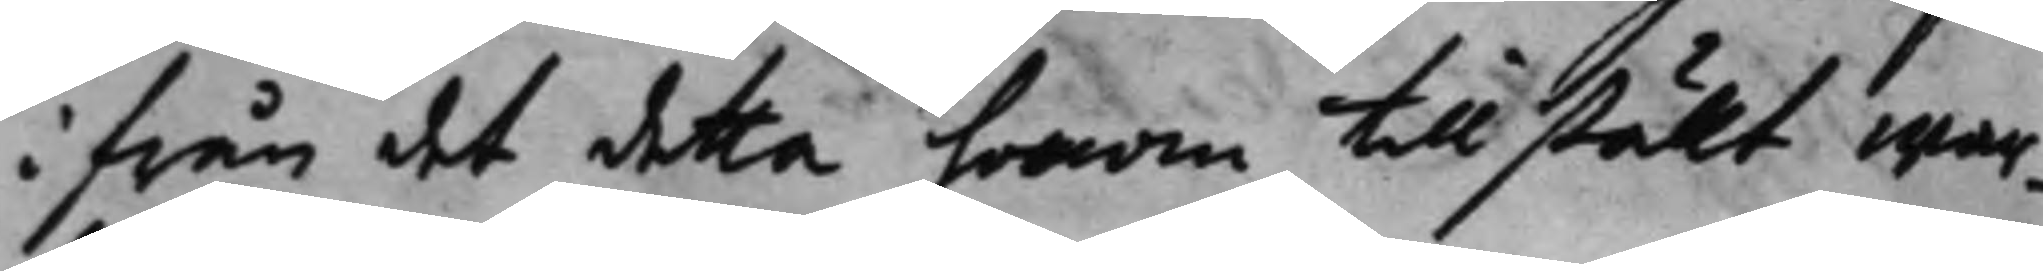ifrån det detta honom tillstält war¬
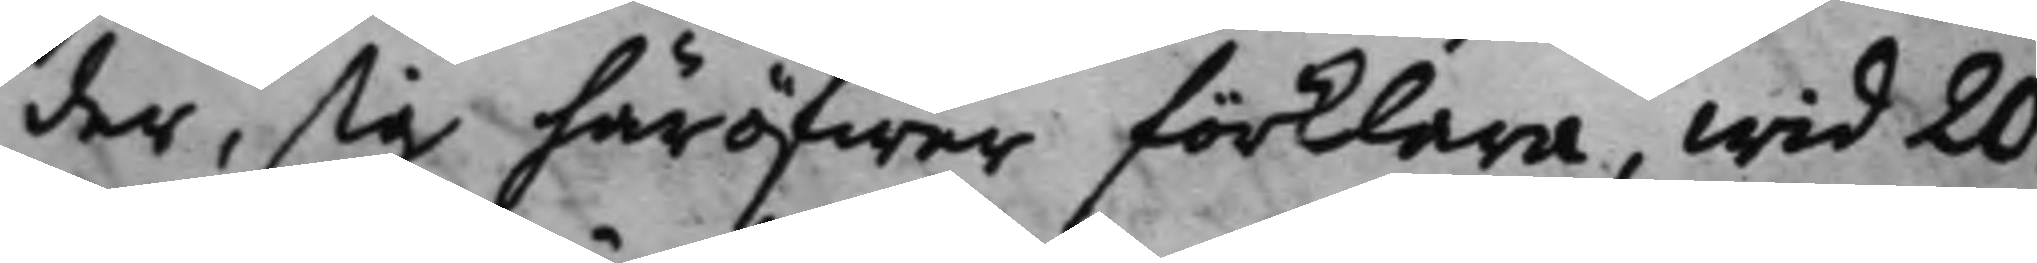der, sig häröfwer förklara, wid 20
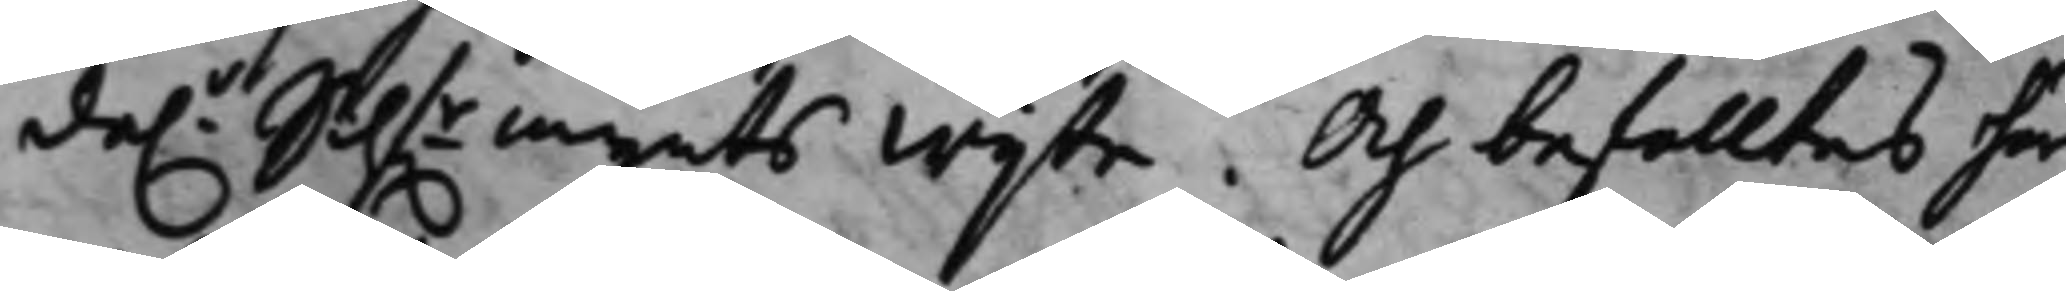da.r Silf.rmynts wijte. Och befalltes her¬ 
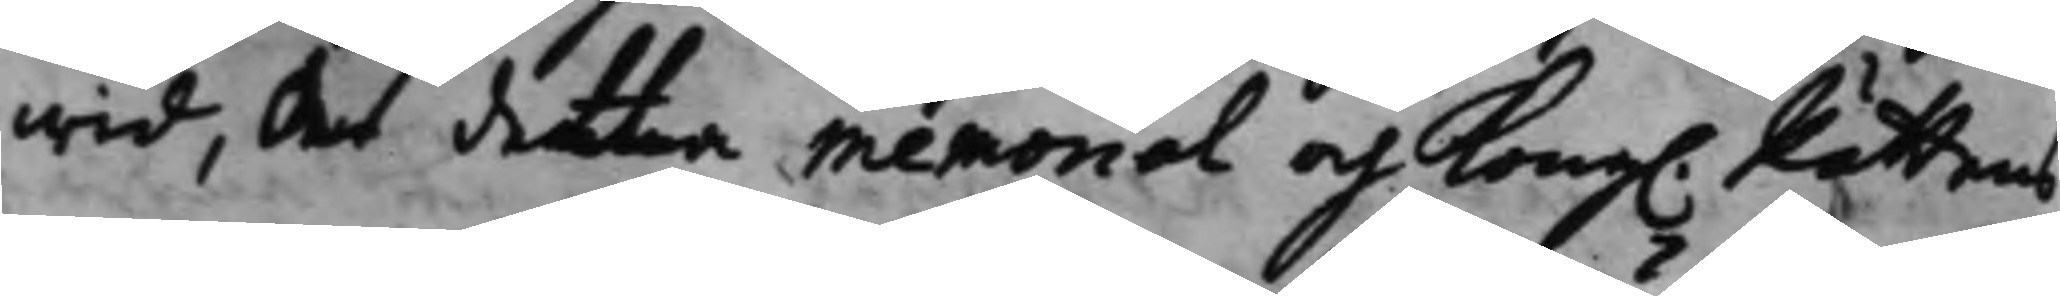wid, At detta memorial och Kong. Rättens 
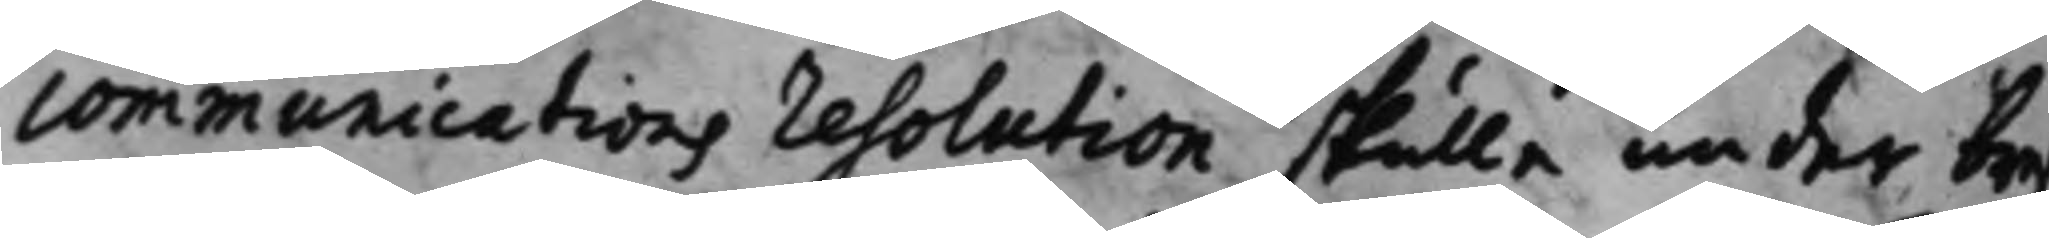communications resolution skulle under bref
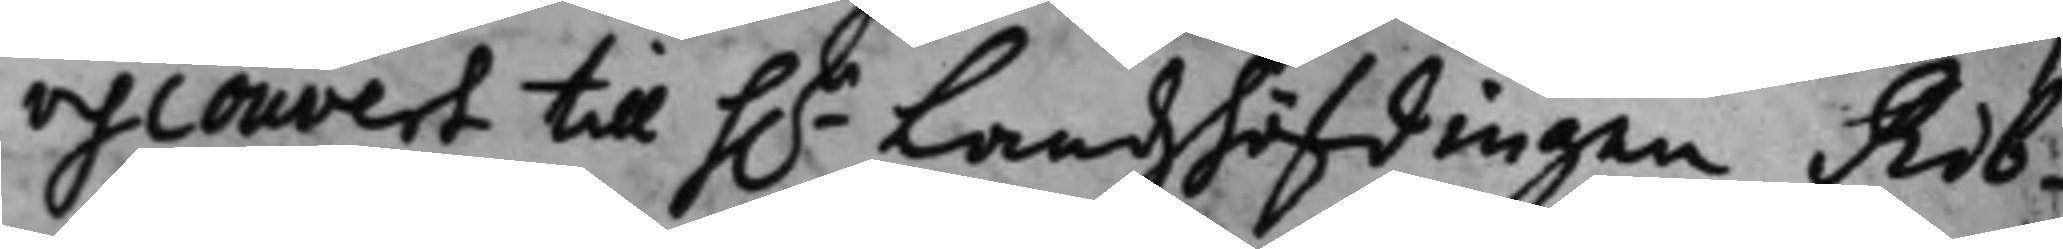och couvert till h.r Landzhöfdingen Rib¬ 
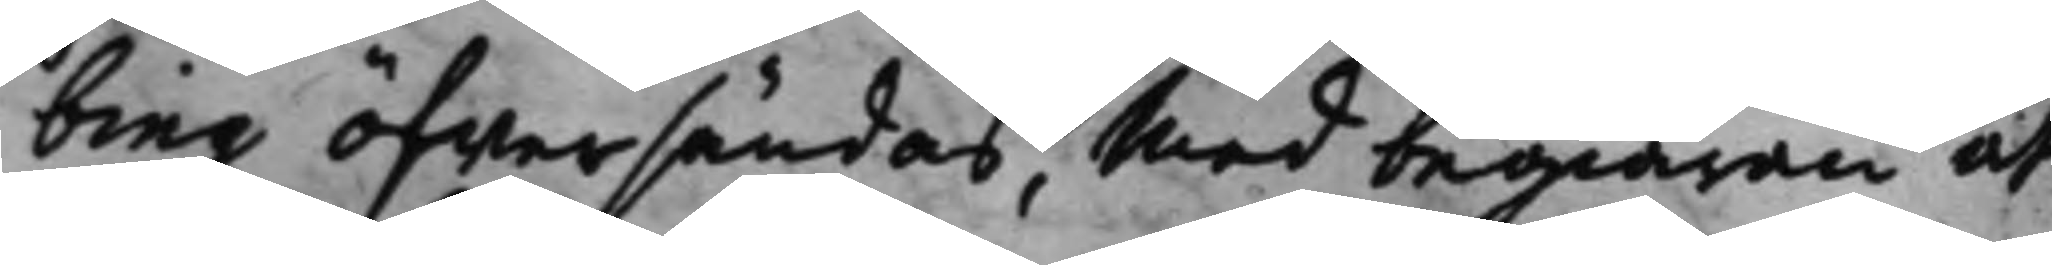bing öfwersändas, med begiäran at
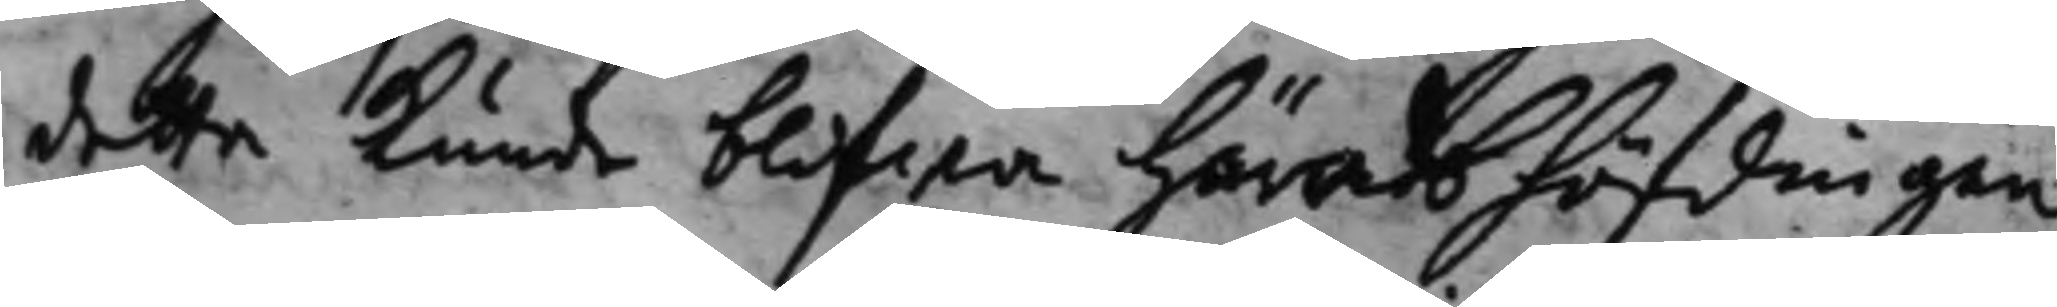detta kunde blifwa häradshöfdingen
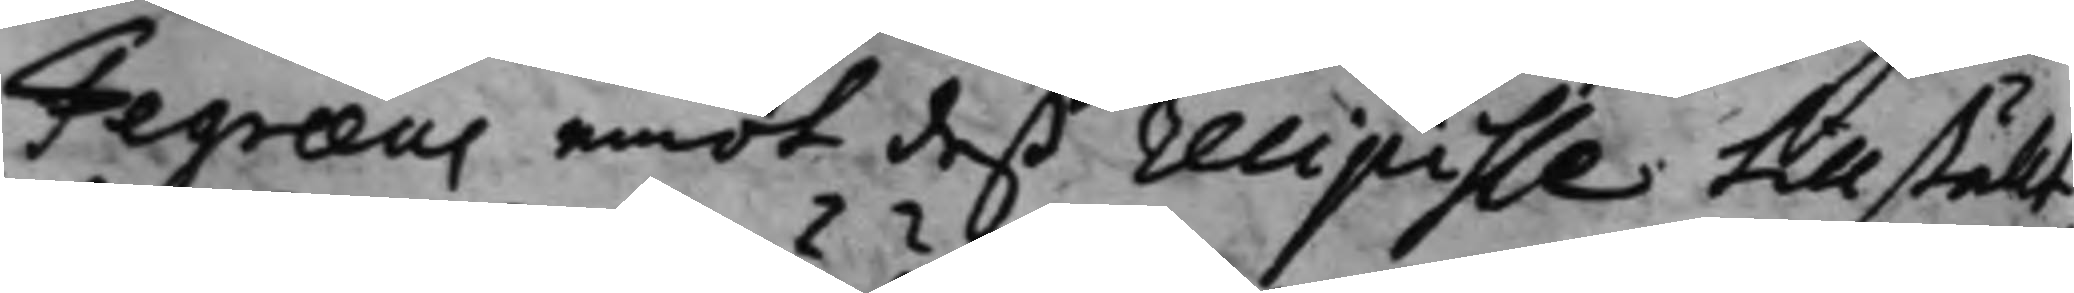Fegræus emot deß recipisse tillställt,
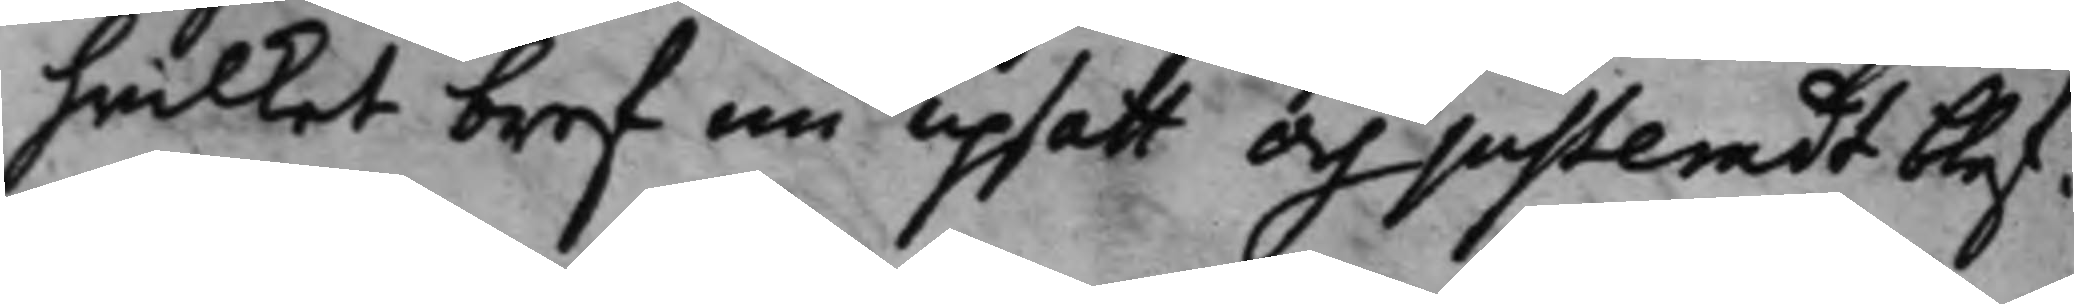hwilket bref nu upsatt och justeradt blef.
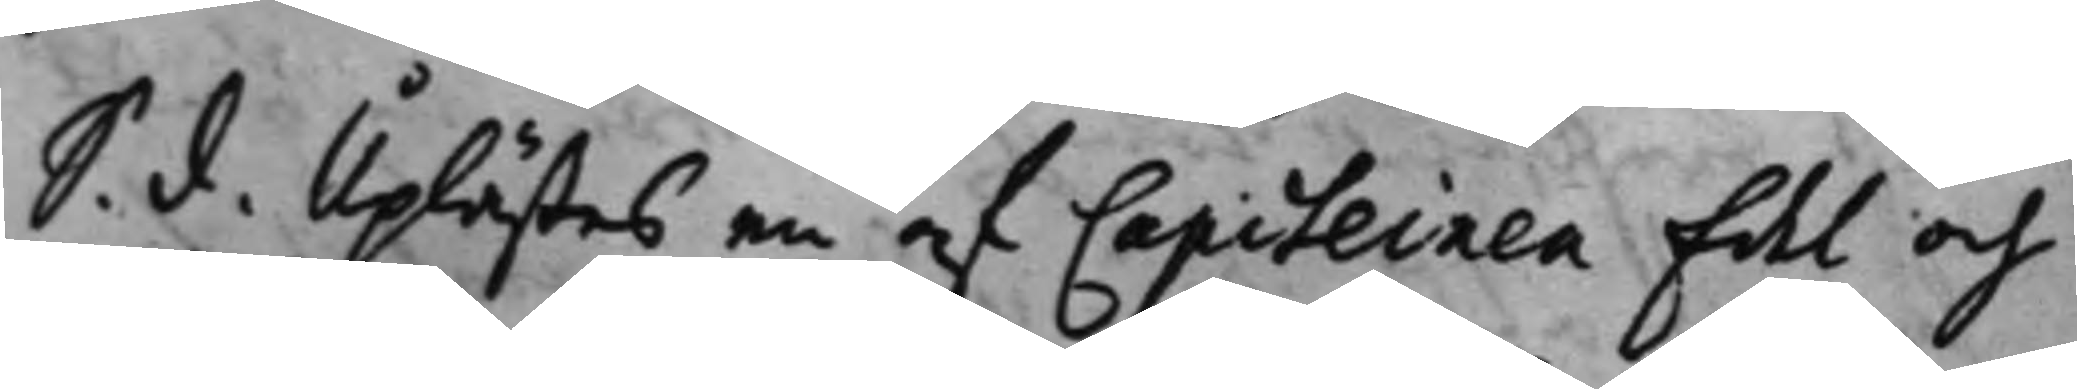S. d. Uplästes en af Capiteinen Edel och 
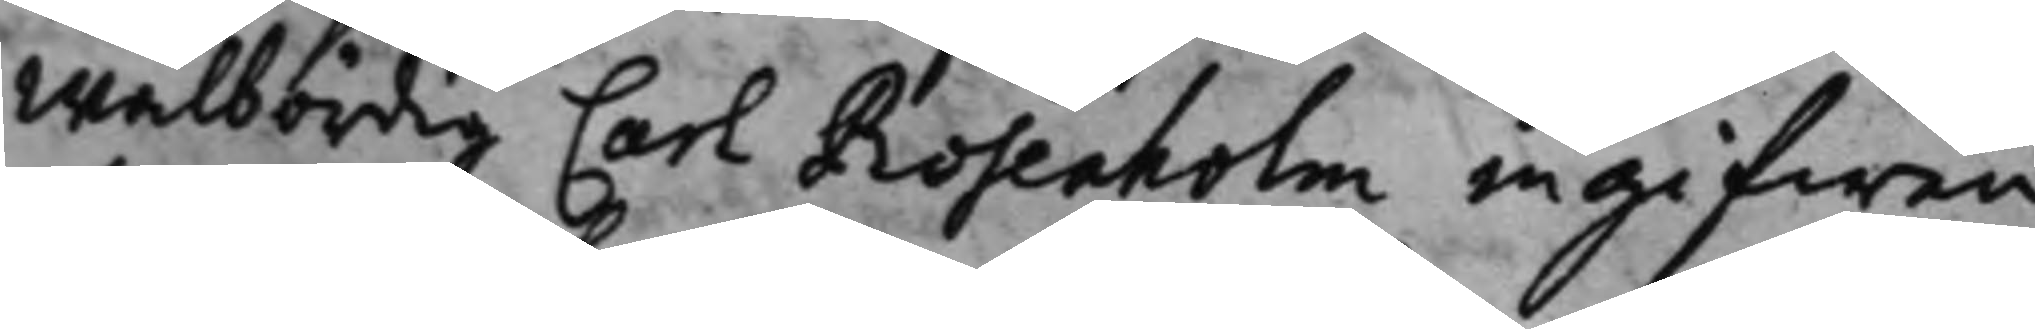Wälbördig Carl Rosenholm ingifwen
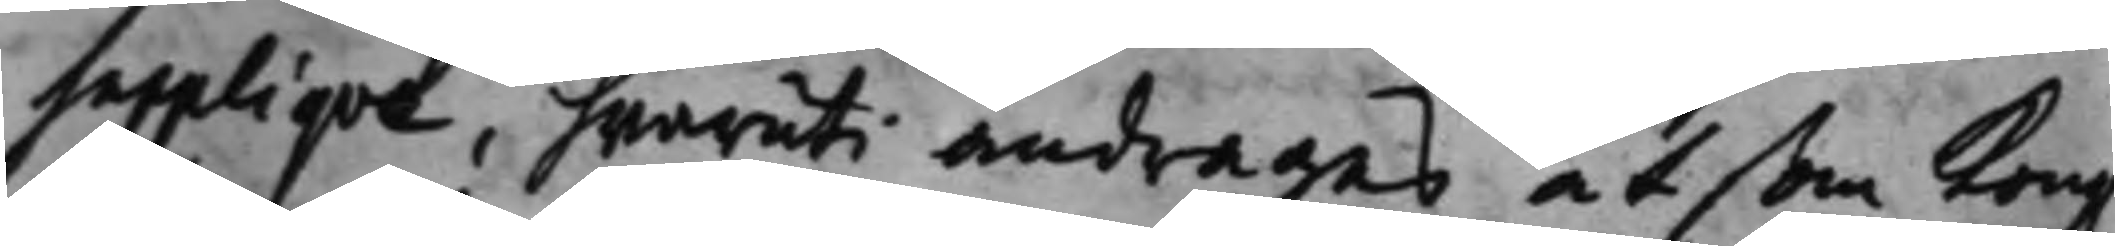Suppliqve, hwaruti andrages, at som Kong. 
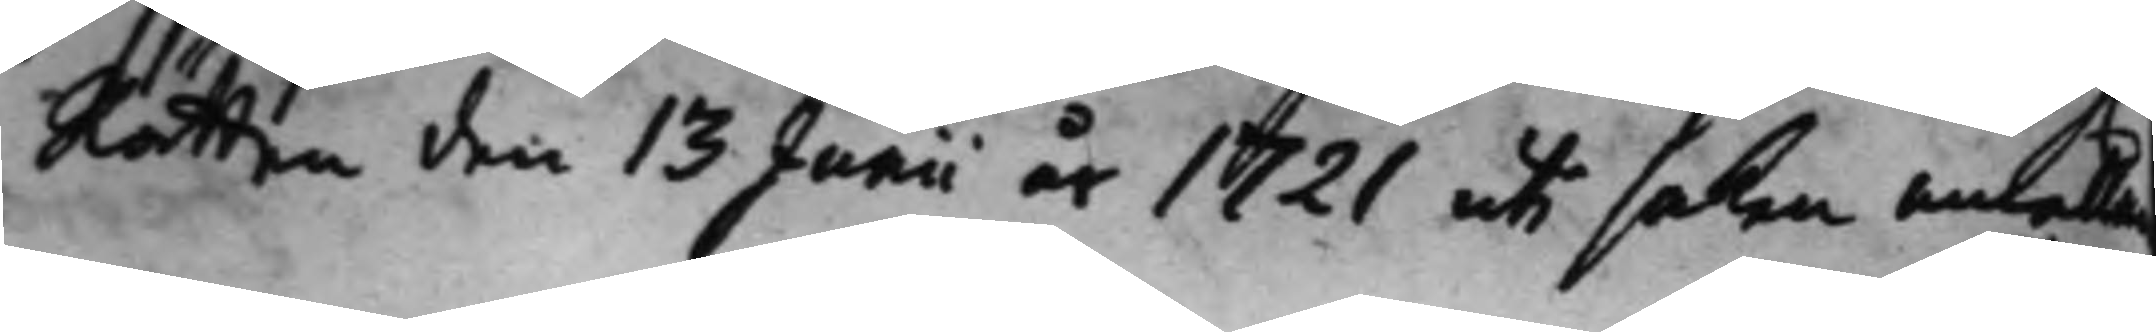Rätten den 13 Junii är 1721 uti saken anhålla
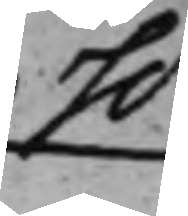h.r
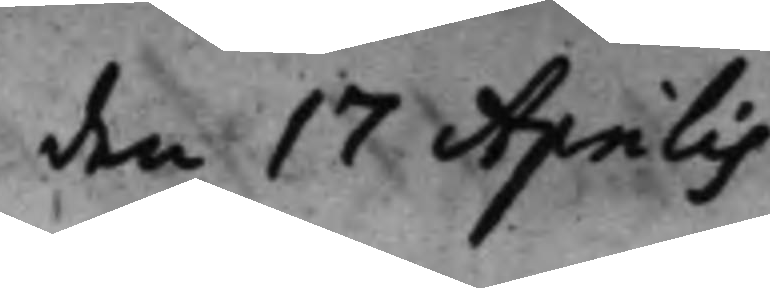den 17 Aprilis.
